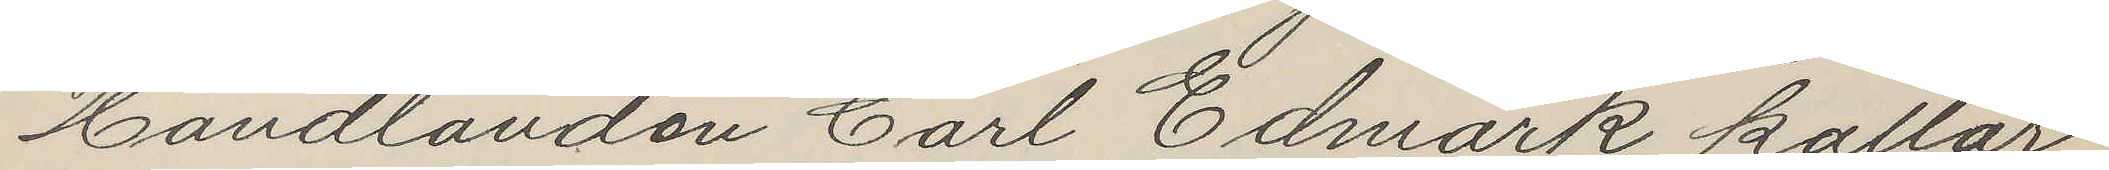Handlanden Carl Edmark kallar
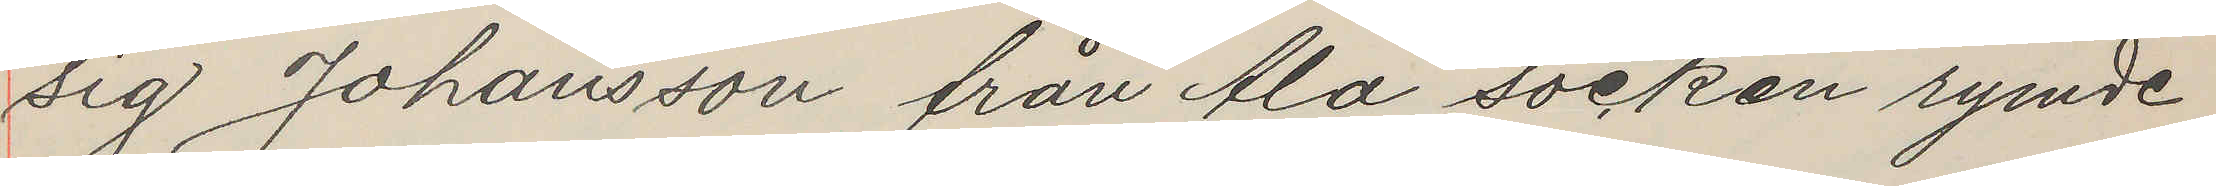sig Johansson från Ala socken rymde
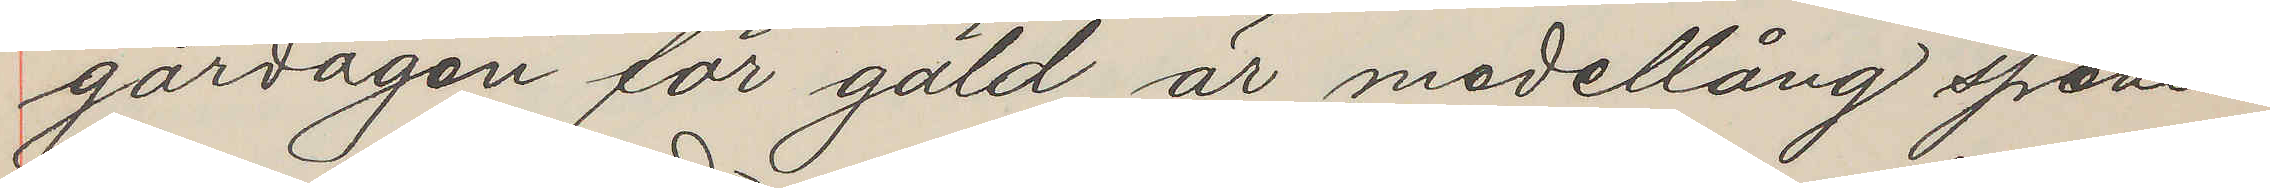gårdagen för gäld är medellång spens¬
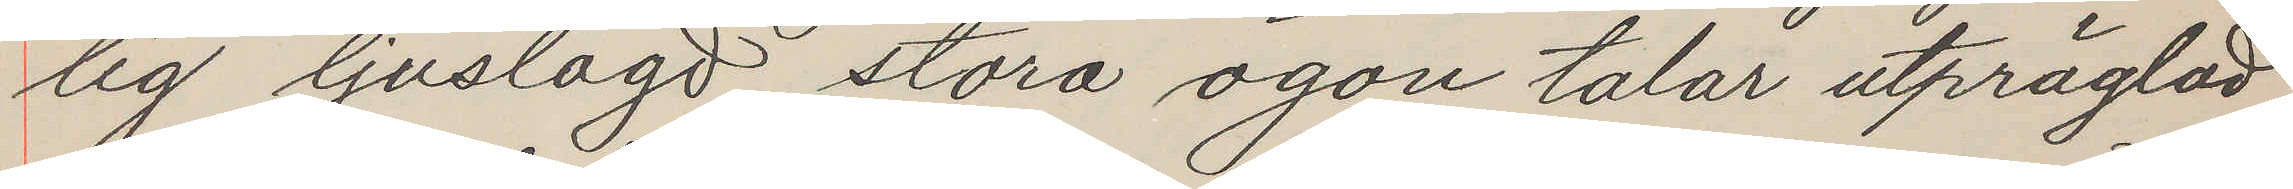lig ljuslagd stora ögon talar utpräglad
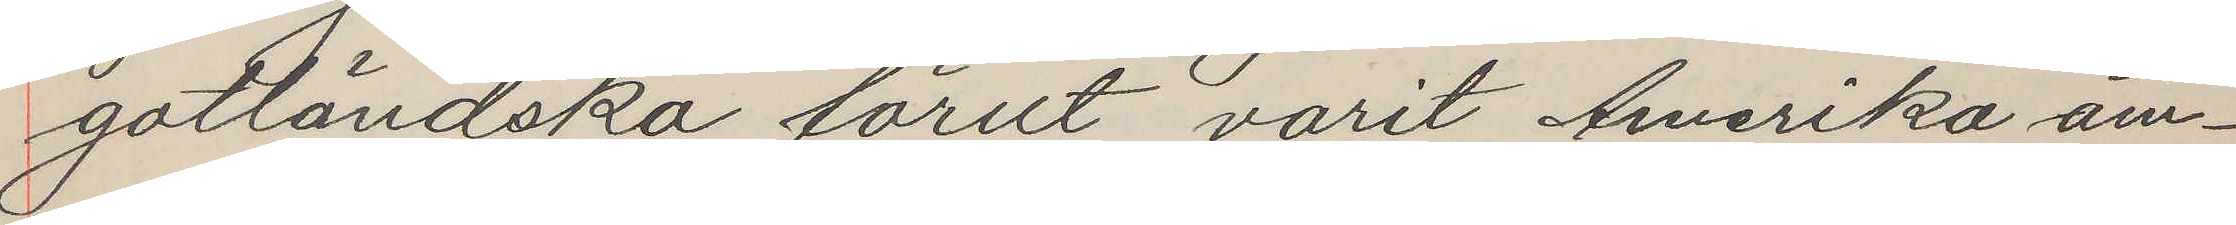gotländska förut varit Amerika äm¬
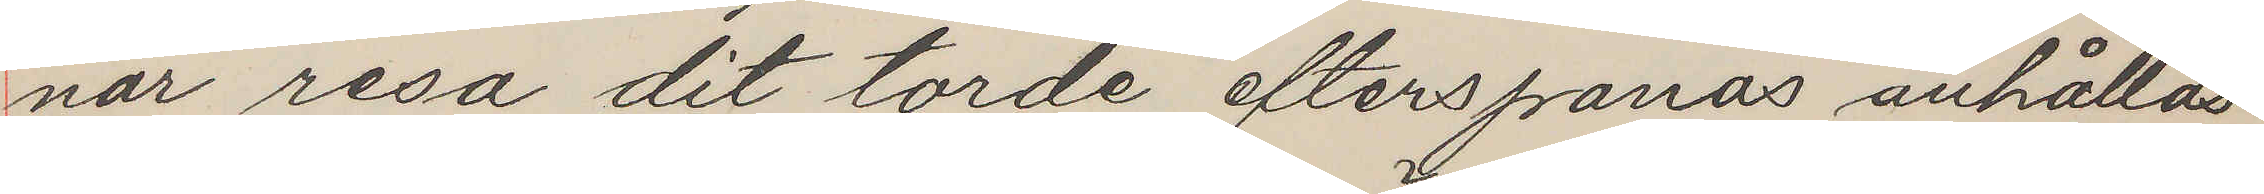nar resa dit torde efterspanas anhållas
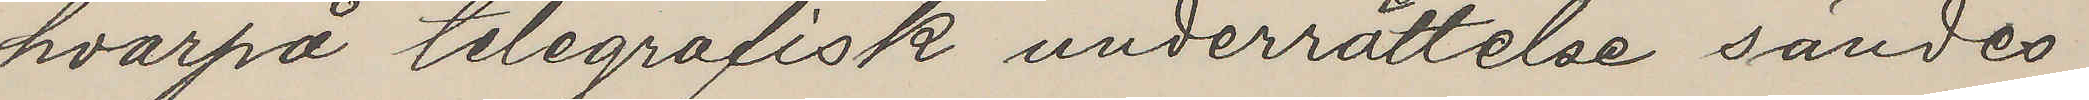hvarpå telegrafisk underrättelse sändes
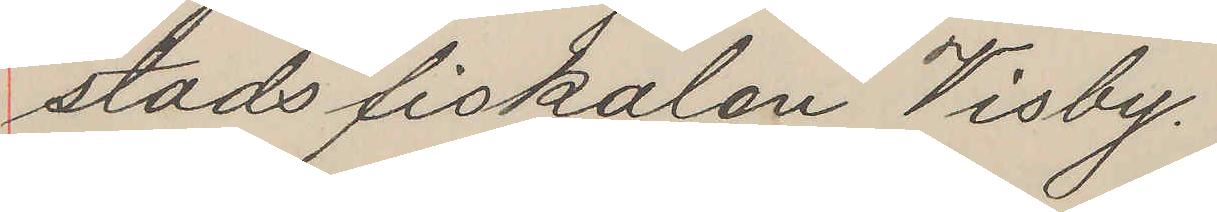stadsfiskalen Visby.
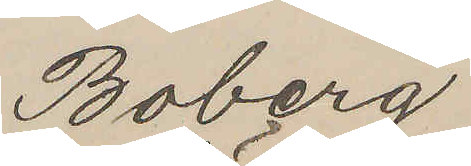Boberg
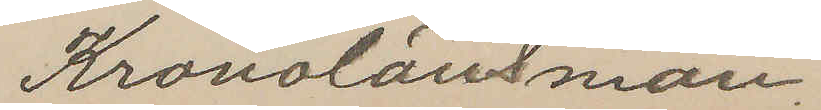Kronolänsman.
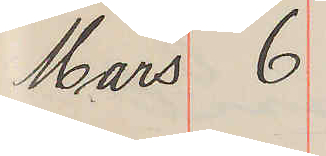Mars 6
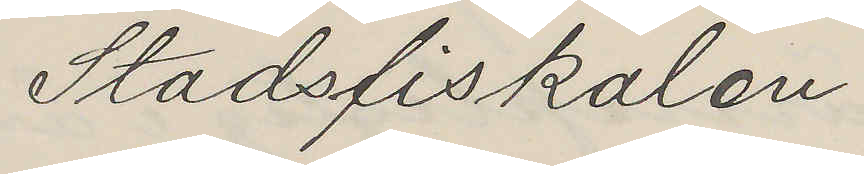Stadsfiskalen
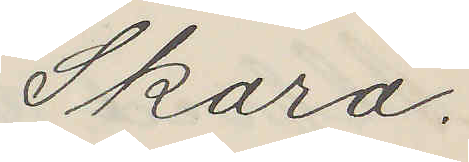Skara.
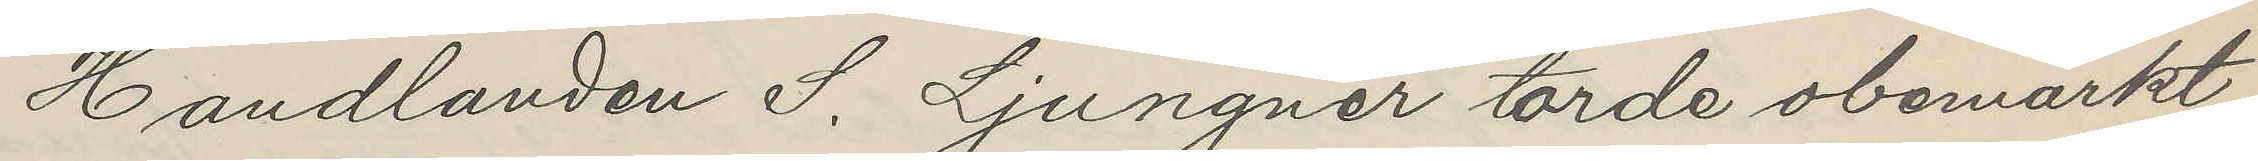Handlanden S. Ljungner torde obemärkt
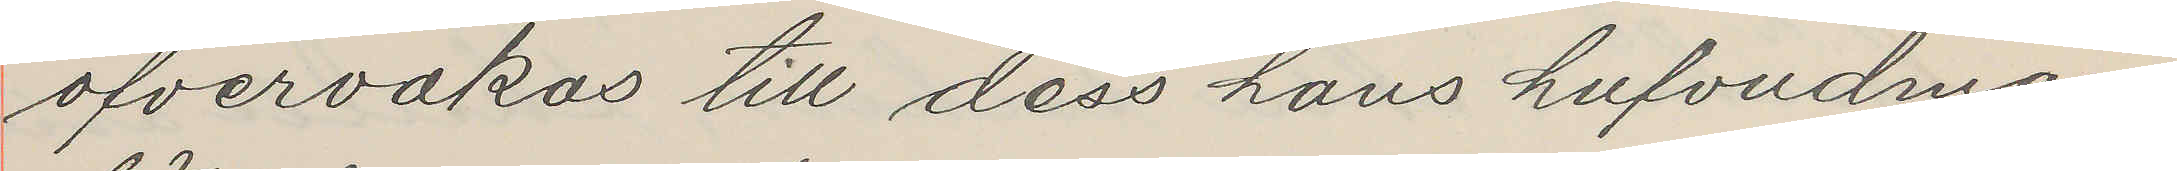öfvervakas till dess hans hufvudman
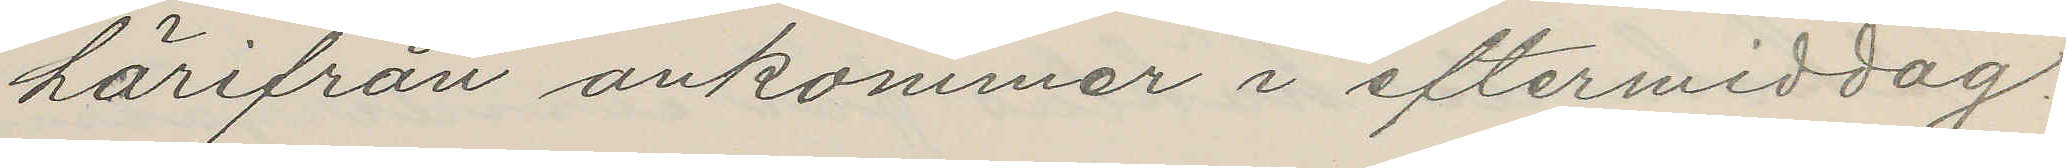härifrån ankommer i eftermiddag.
